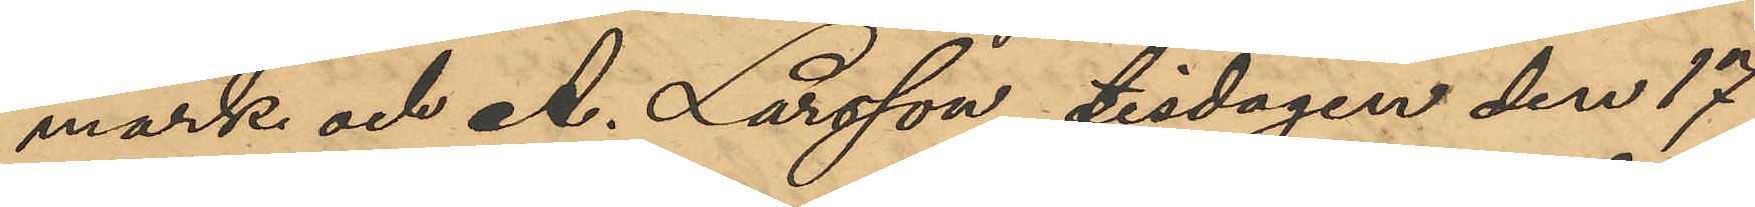mark och A. Larsson tisdagen den 17
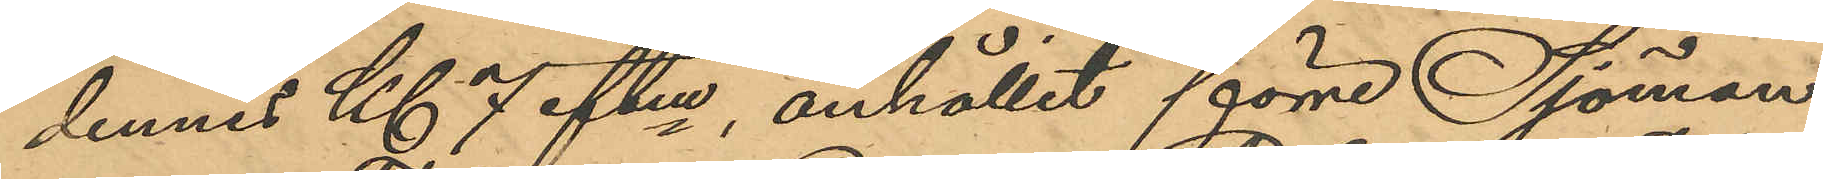dennes Kl 7 eftm, anhållit förre Sjöman¬
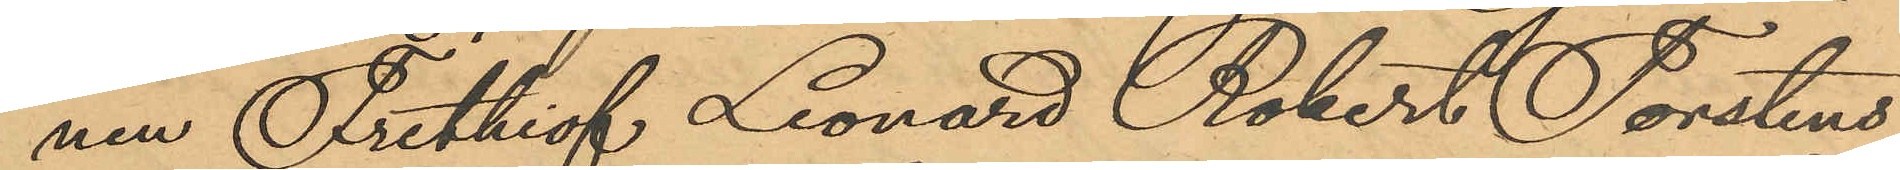nen Frithiof Leonard Robert Torstens¬
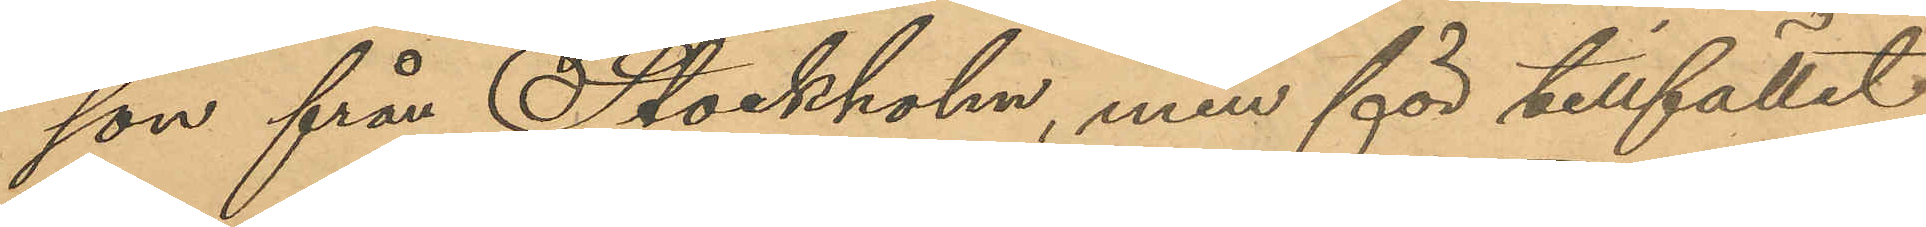son från Stockholm, men för tillfället
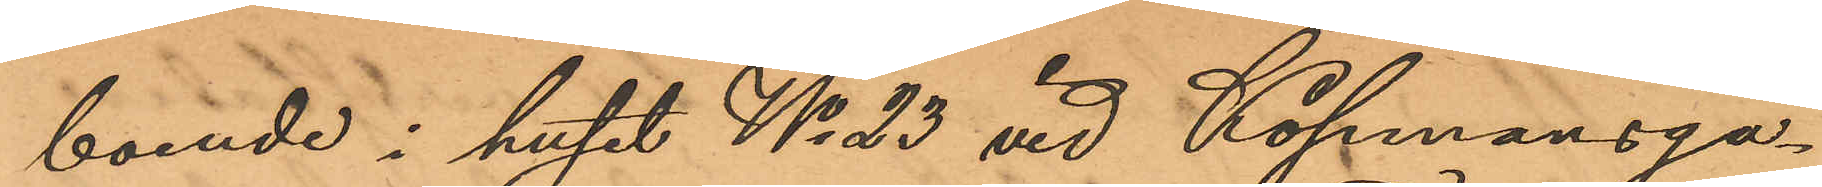boende i huset No 23 vid Köpmansga¬
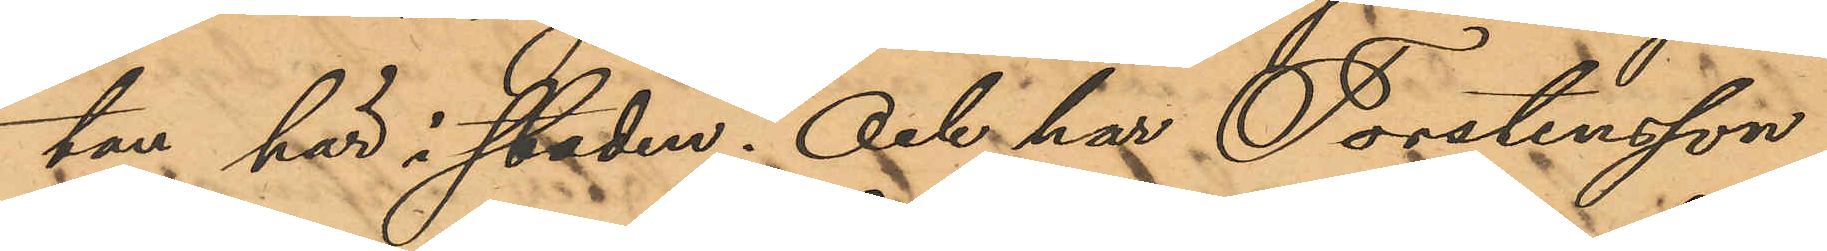tan här i staden; Och har Torstensson,
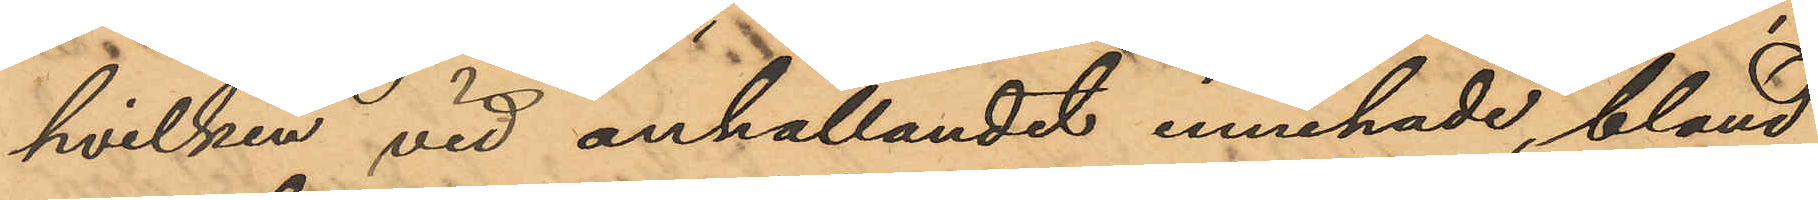hvilken vid anhållandet innehade, bland
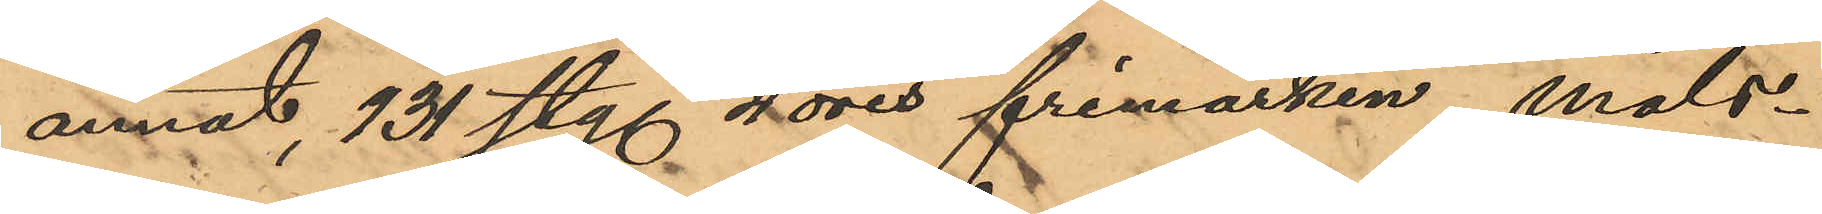annat, 131 sty. 4 öres frimärken, måls¬
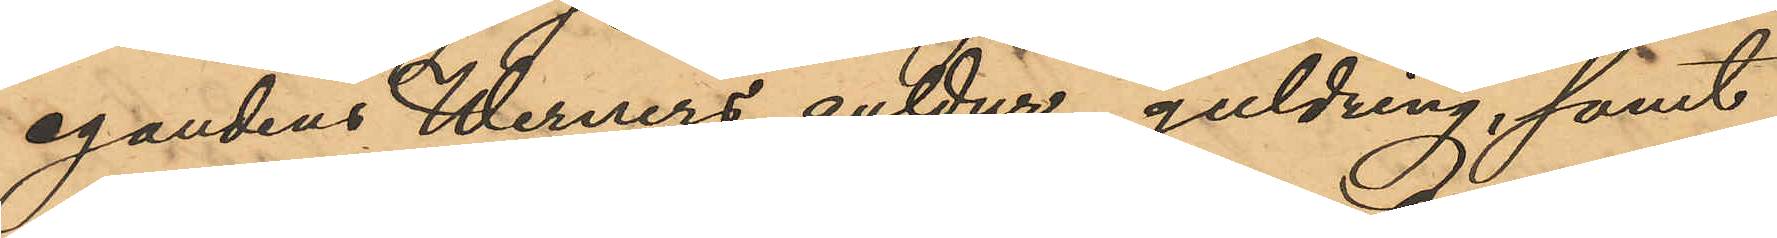eganden Werners guldur, guldring, samt
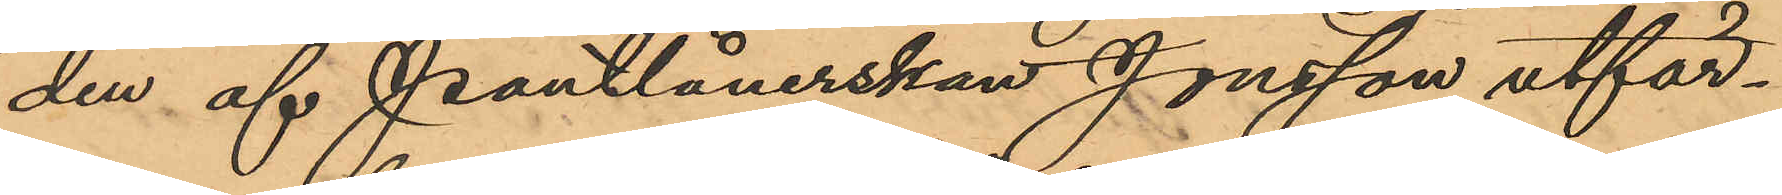den af Pantlånerskan Jonsson utfär¬
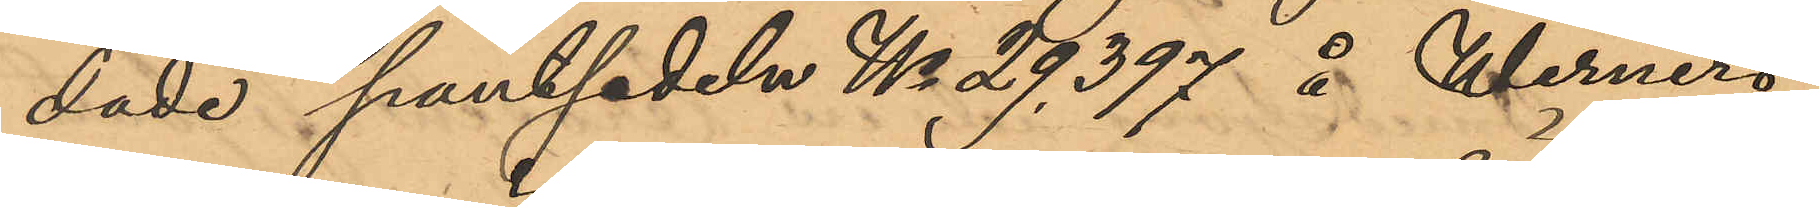dade pantsedeln No 29,397 å Werners
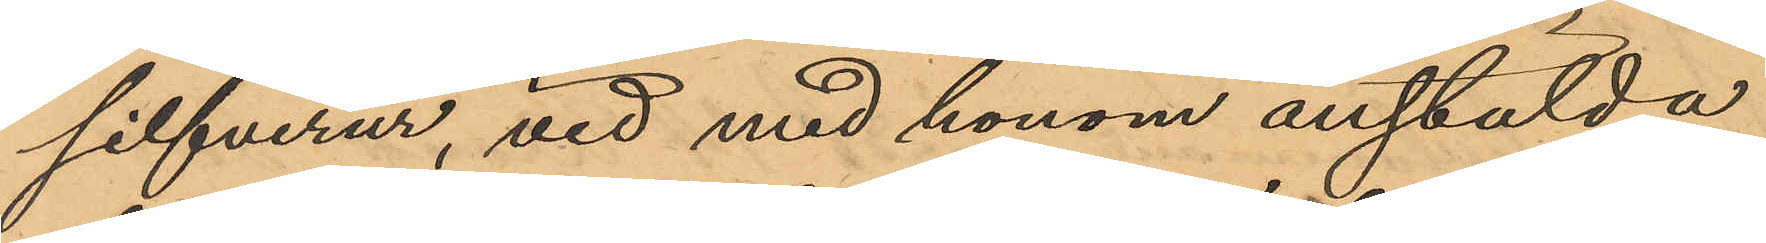silfverur, vid med honom anstälda
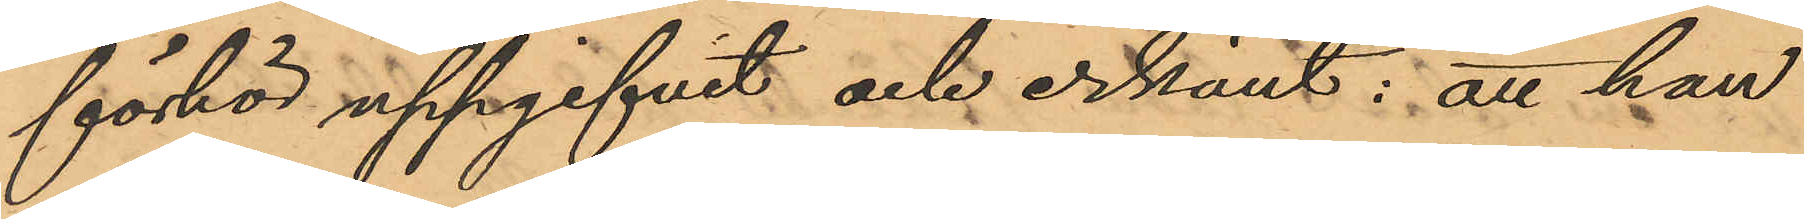förhör uppgifvit och erkänt: att han
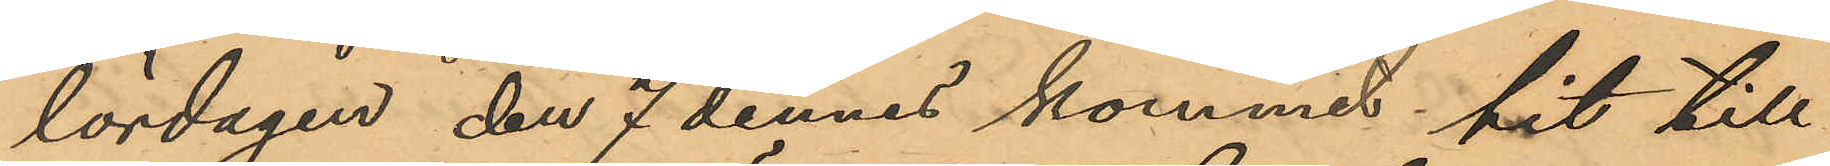lördagen den 7 dennes kommit hit till
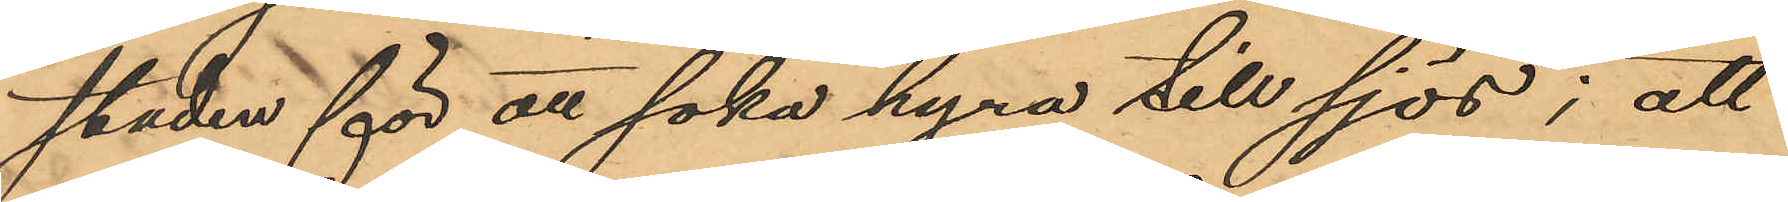staden för att söka hyra till sjöss; att
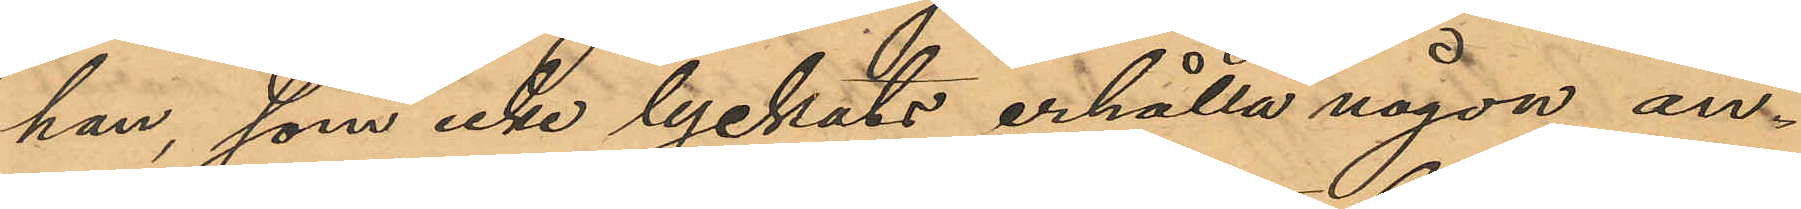han, som icke lyckats erhålla någon an¬
